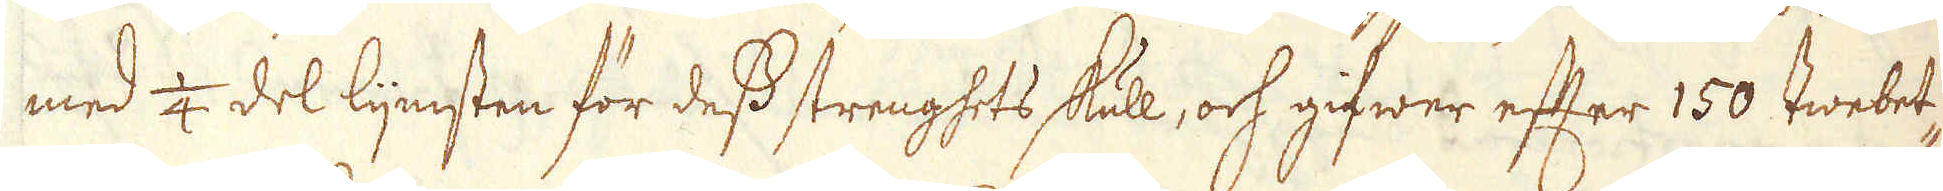med 1/4 del lijmsten för dess strenghets skull, och gifwer efter 150 twebet-
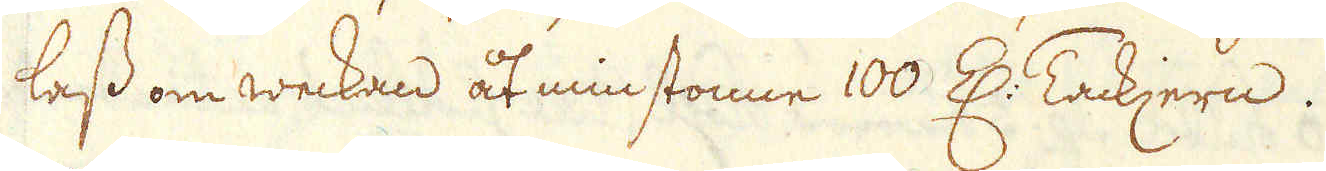lass om weckan åt minstonne 100 Z: Tackjern.
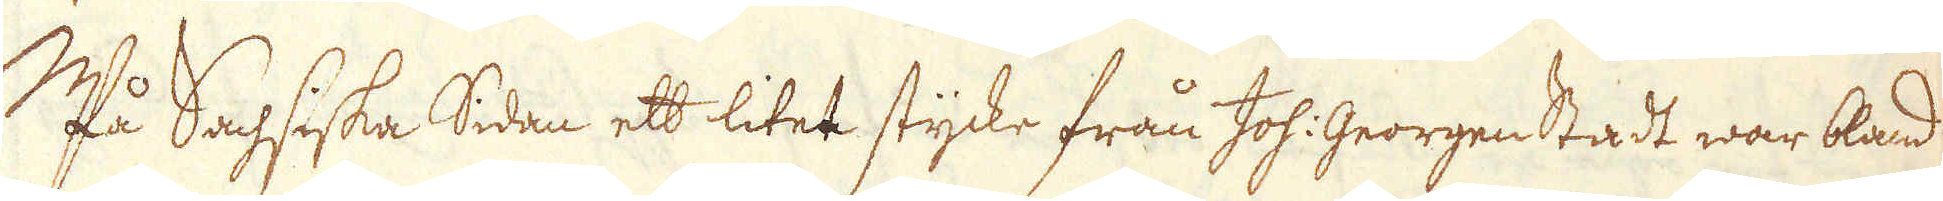På Sachsiska Sidan ett litet stycke från Joh: Georgenstadt war bland
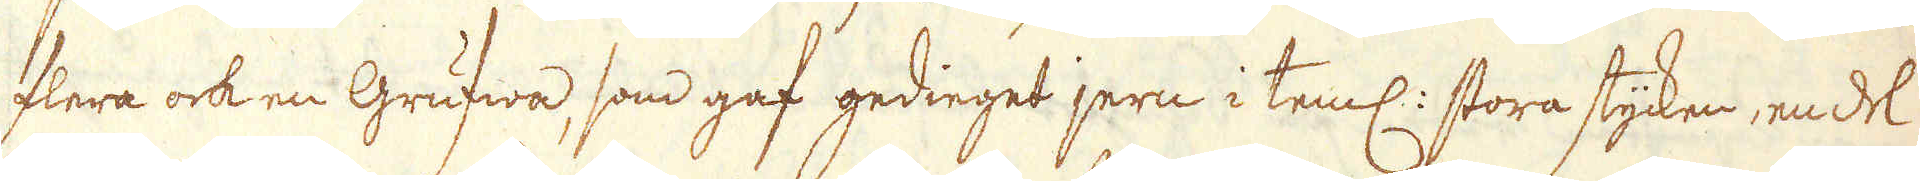flera ock en Grufwa, som gaf gedieget jern i teml: stora stycken, en del
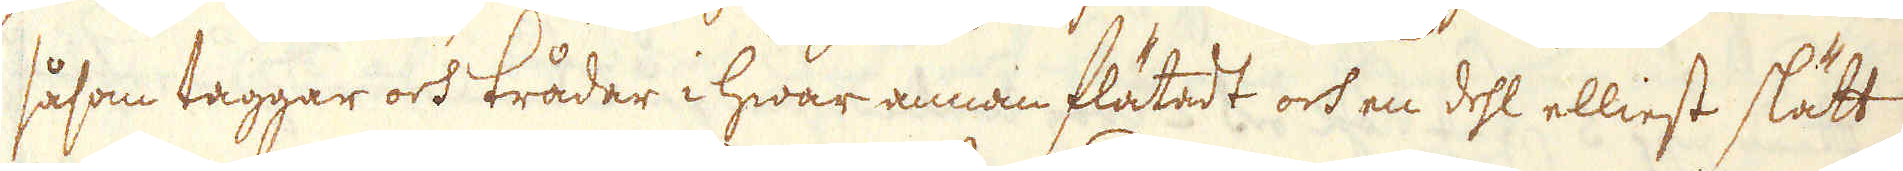såsom taggar och trådar i hwar annan flätadt och en del elliest slätt
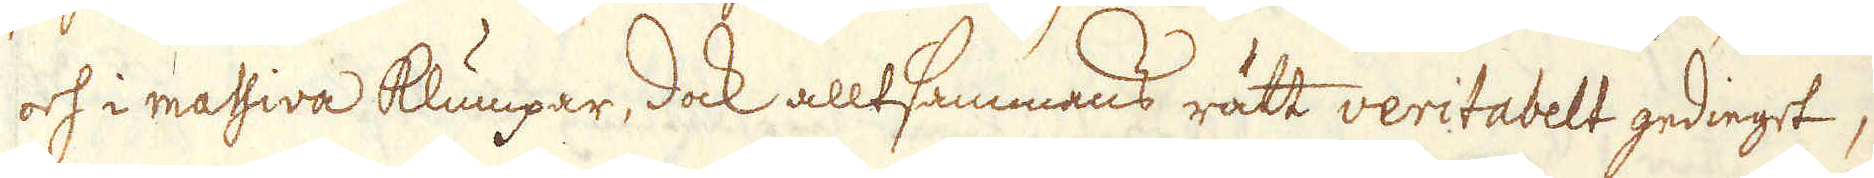och i massiva klumpar, dock alltsammans rätt veritabelt gedinget,
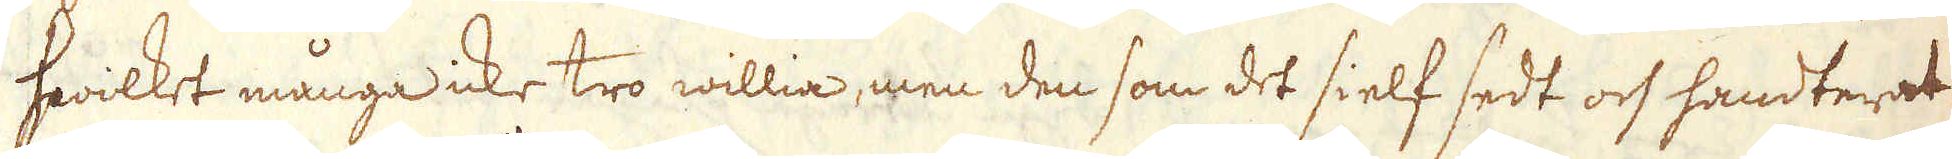hwilket många icke tro willia, men den som det sielf sedt och handterat
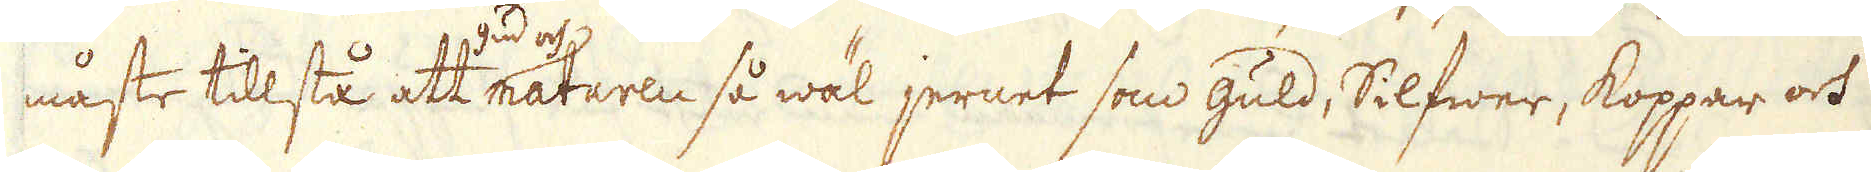måste tillstå att naturen så wäl jernet som guld, Silfwer, koppar och
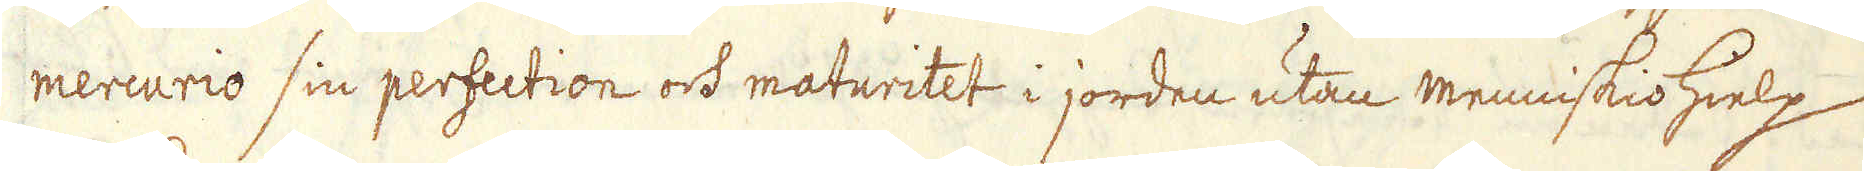mercurio sin perfection och maturitet i jorden utan menniskiohielp
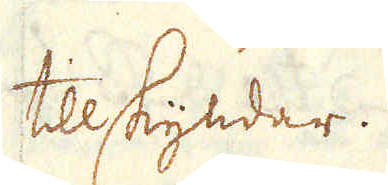tillskyndar.
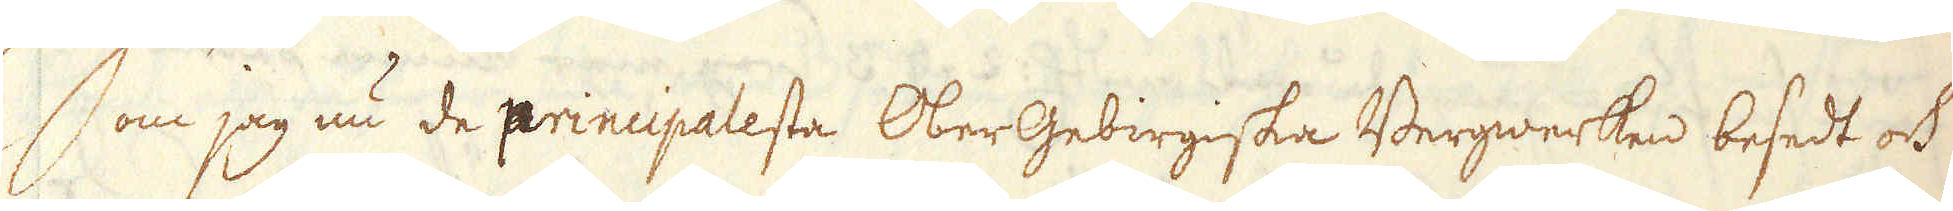Som jag nu de principalesta OberGebirgiska Bergwerken besedt och
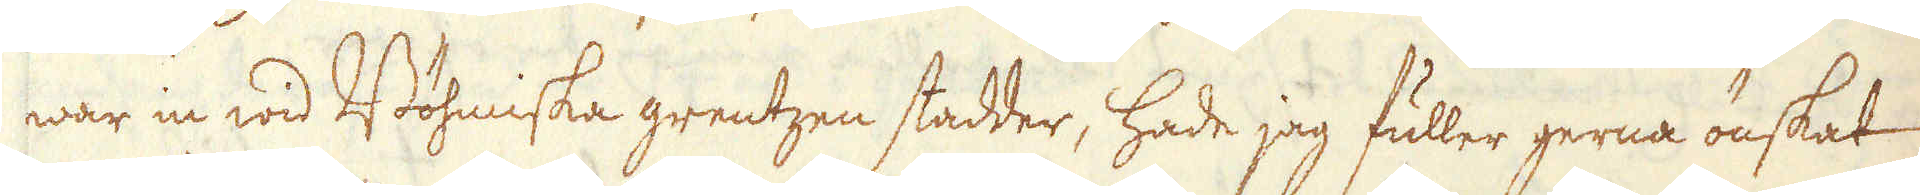war in wid Böhmiska grentzen stadder, hade jag fuller gerna önskat
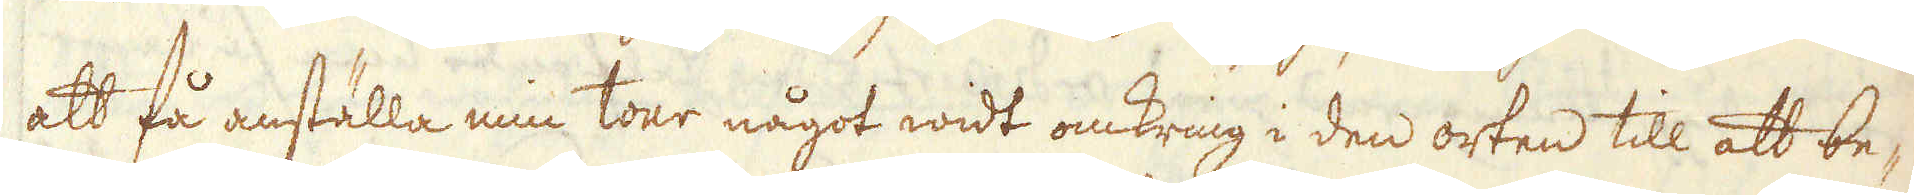att få anställa min tour något widt omkring i den orten till att be-
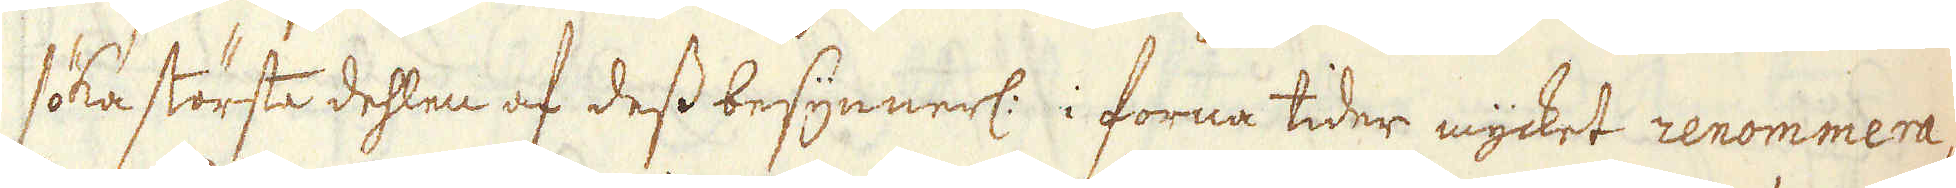söka största dehlen af dess besynnerl: i forna tider mycket renommera-
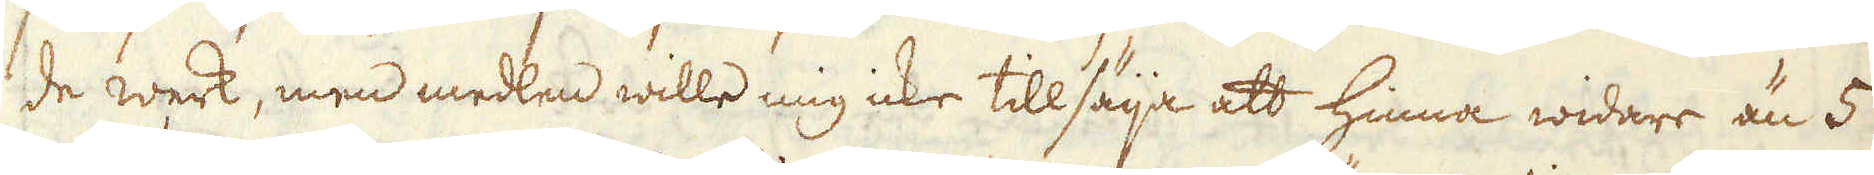de werk, men medlen wille mig icke tillsäija att hinna widare än 5
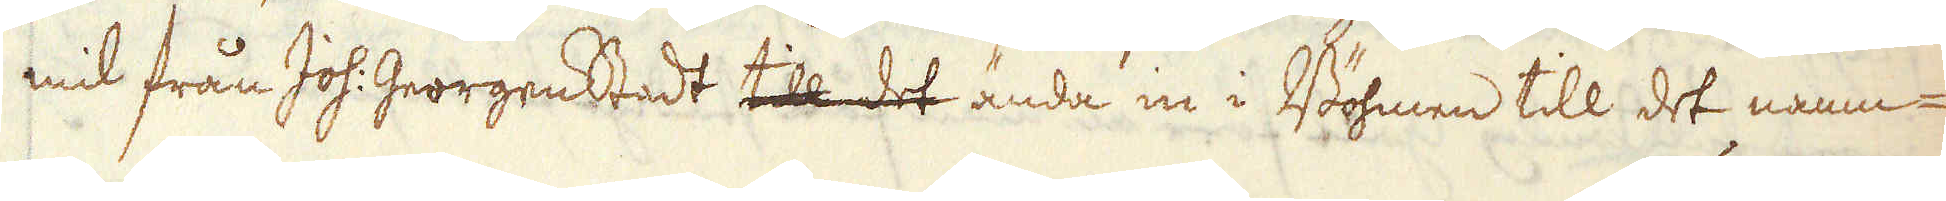mil från Joh: Georgenstadt till det ända in i Böhmen till det namn-
